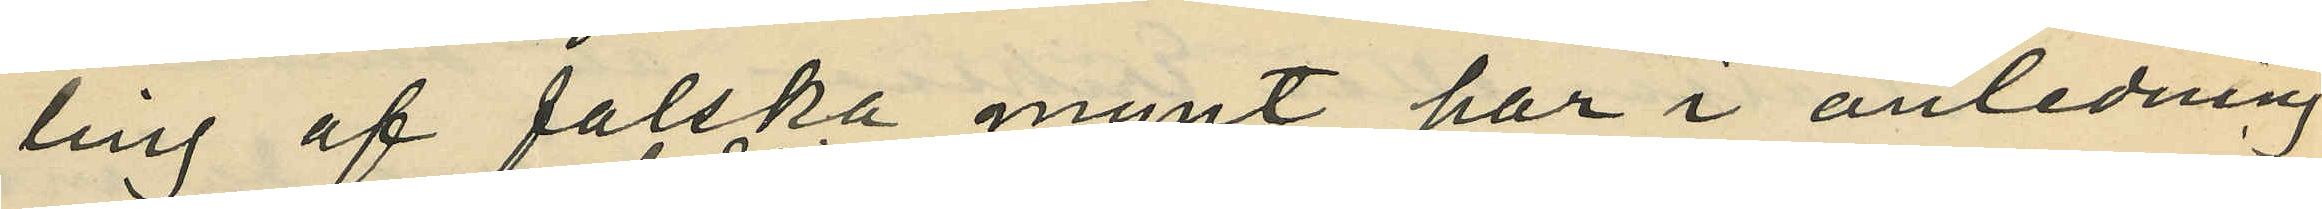ling af falska mynt, har i anledning
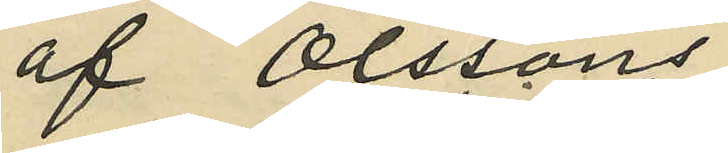af Olssons
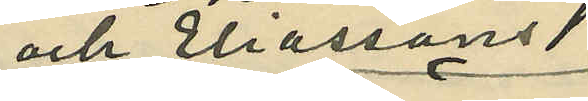och Eliassons
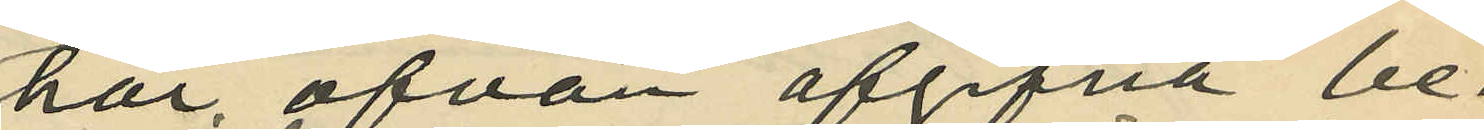här ofvan afgifna be¬
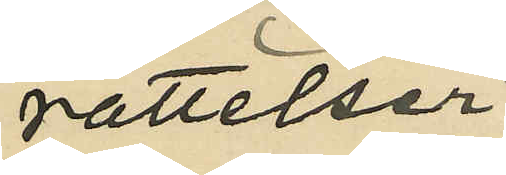rättelser
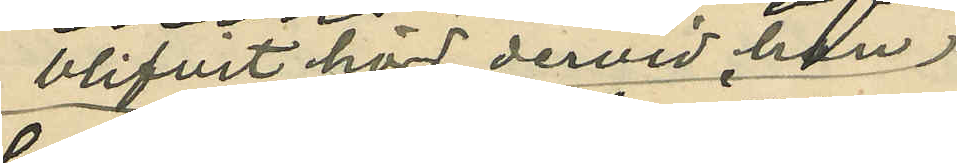blifvit hörd, dervid han
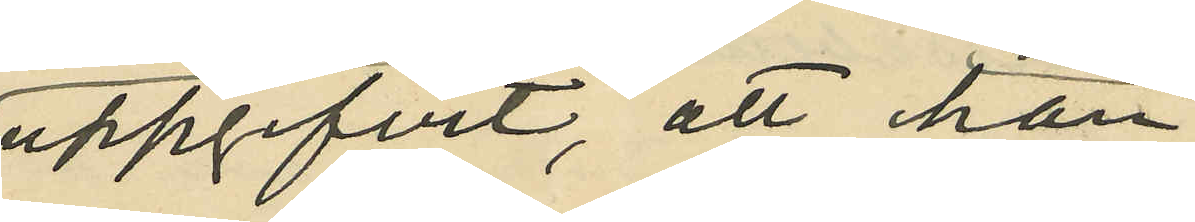uppgifvit, att han
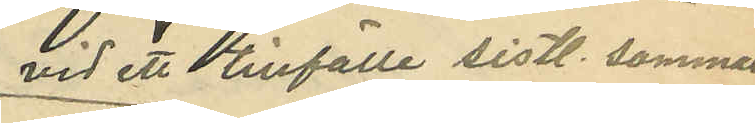vid ett tilfälle sistl. sommar
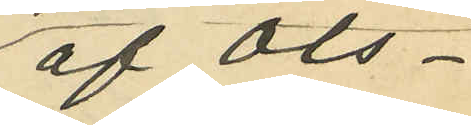af Ols¬
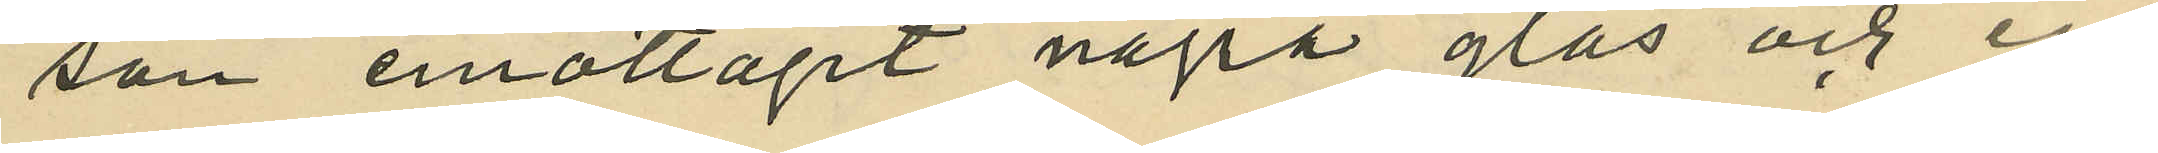son emottagit några glas och en
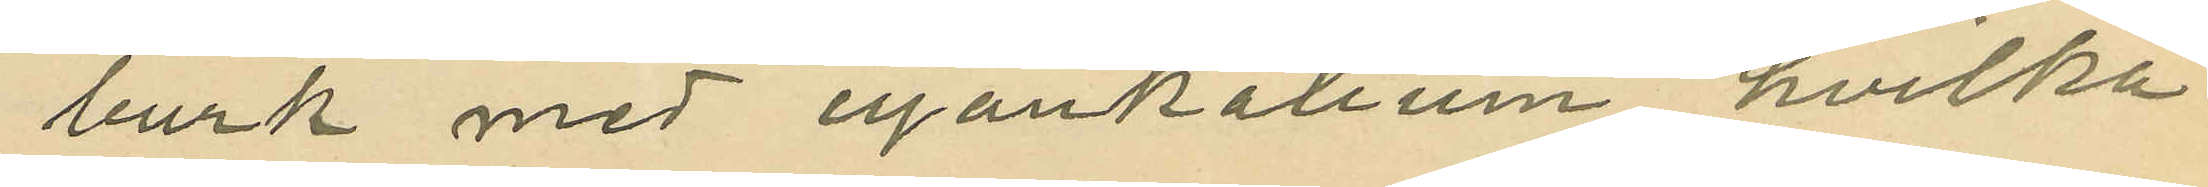burk med cyankalium, hvilka
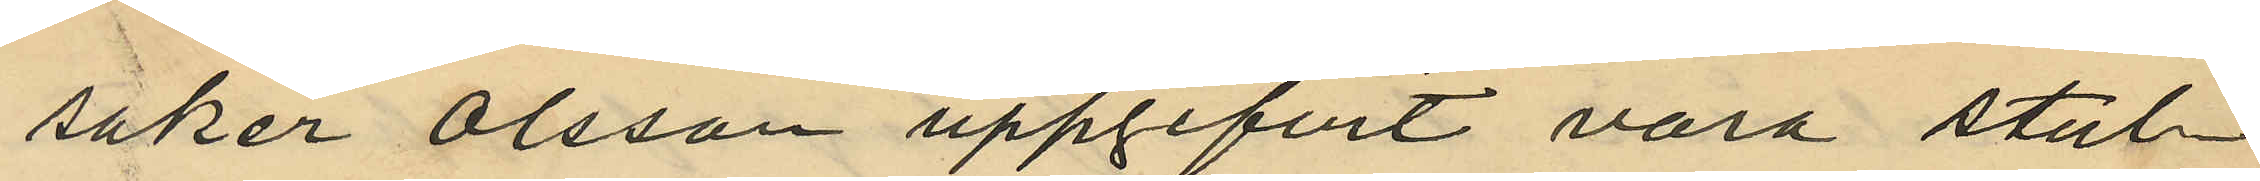saker Olsson uppgifvit vara stul¬
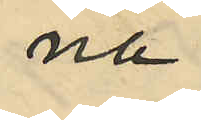na
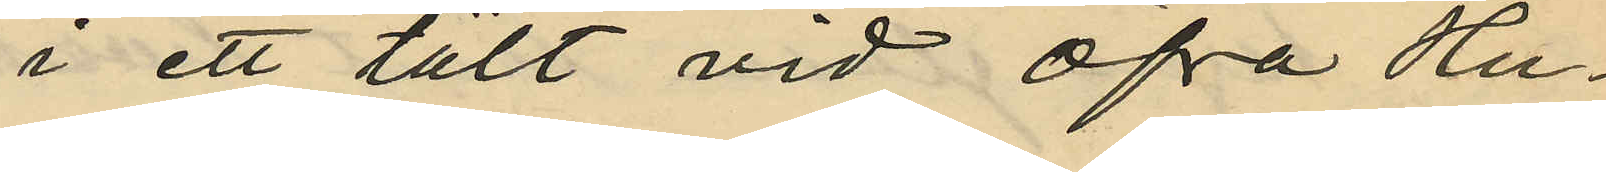i ett tält vid Öfra Hu¬
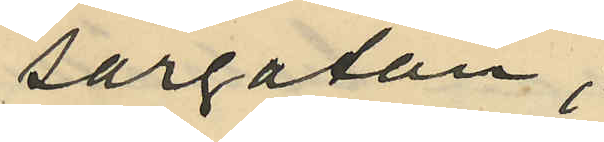sargatan;
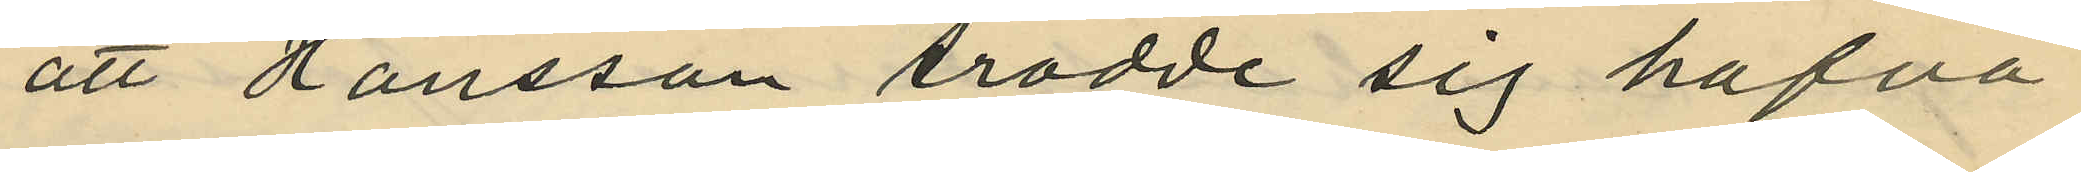att Hansson trodde sig hafva
